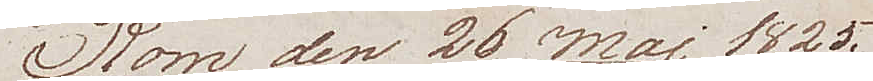Rom den 26 Maj 1825
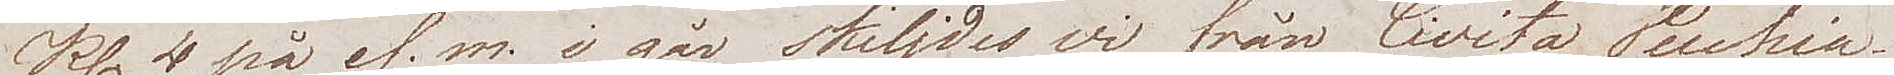Kl. 4 på ef.m. i går skiljdes vi från Civita Vecchia.
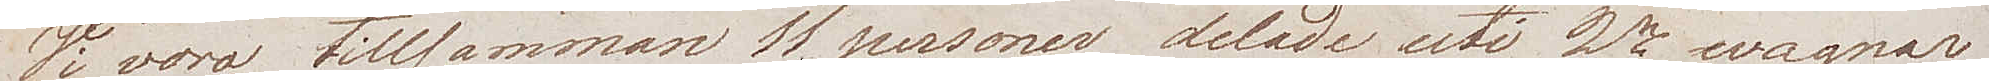Vi voro tillsammans 11 personer delade uti 2ne wagnar
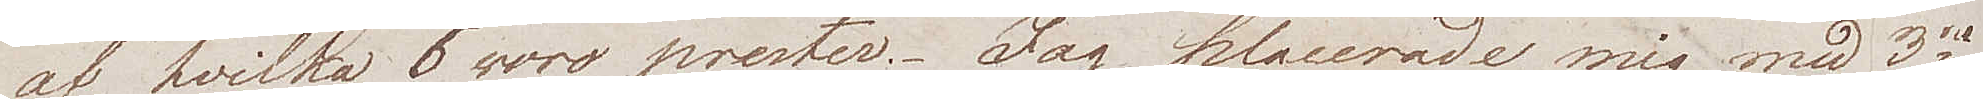af hvilka 5 woro prester. Jag placerade mig med 3ne
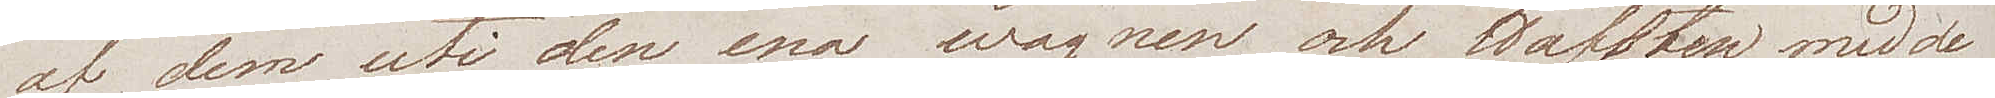af dem uti den ena wagnen och Hoffsten med de
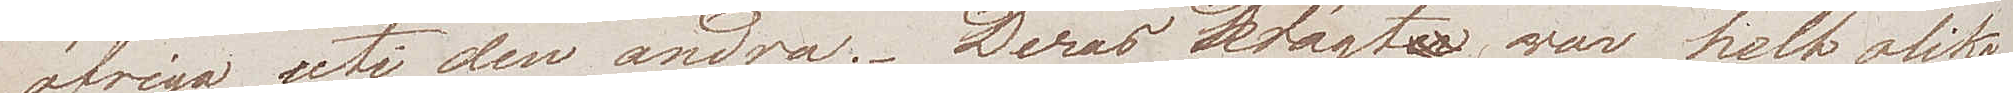öfriga uti den andra. Deras drägter var helt olika
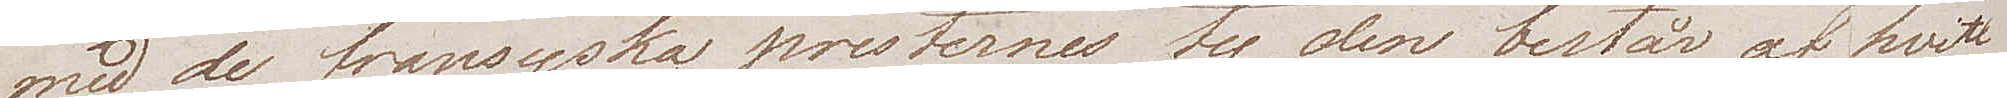med de fransyska presternes ty den består af hvit
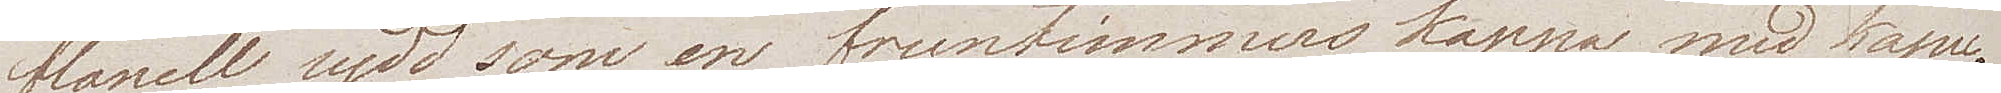flanell sydd som en fruntimmerskappa med kapu¬
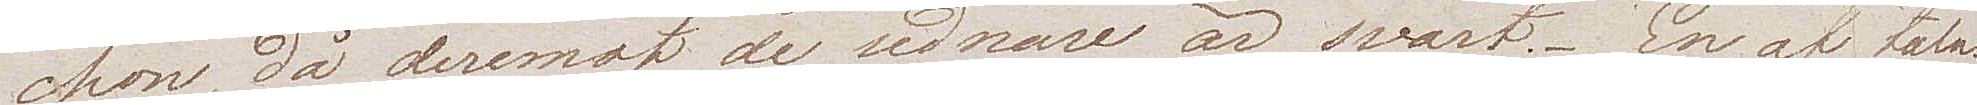chon, då deremot de sednare är svart. En af tala¬
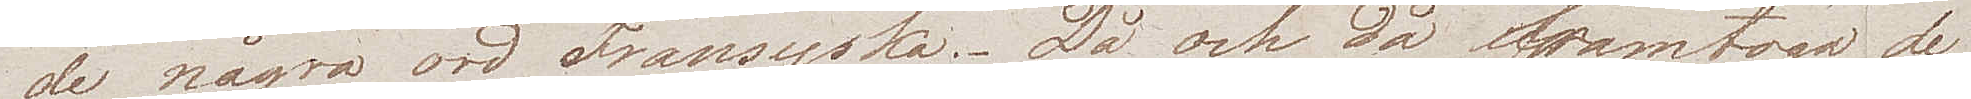de några ord Fransyska. Då och då framtogo de
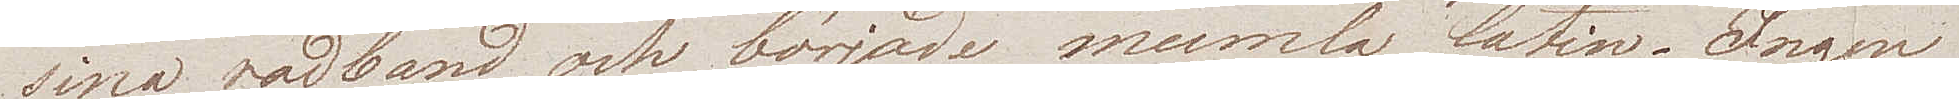sina radband och började mumla latin. Ingen
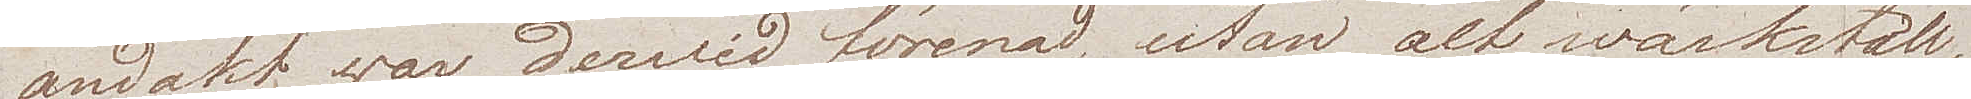andakt war derwid förenad, utan alt wärkställ¬
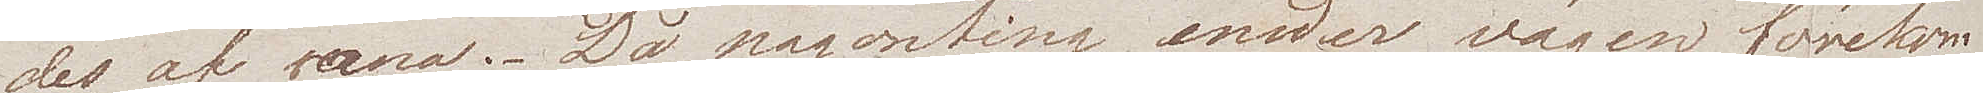des af vana. Då någonting under vägen förekom
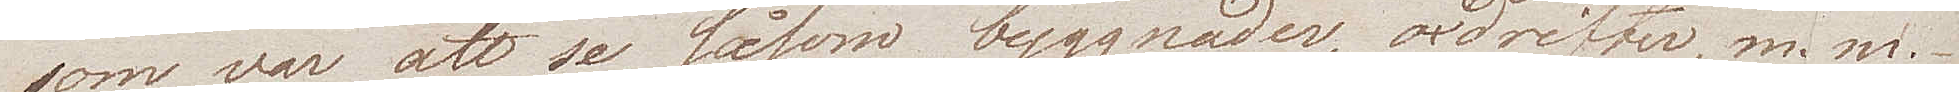som var att se, såsom byggnader, oxdrifter m.m.
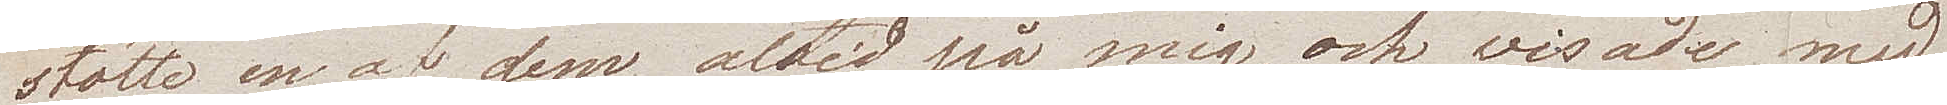stötte en af dem altid på mig, och visade med
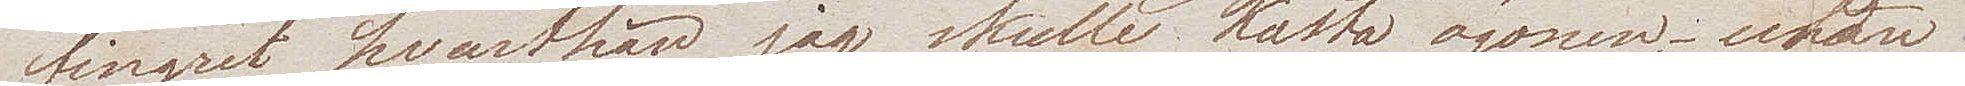fingret hvarthän jag skulle kasta ögonen – utan
